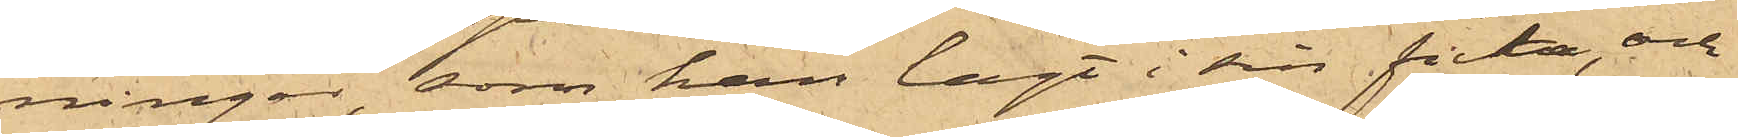ningar, som han lagt i sin ficka, och
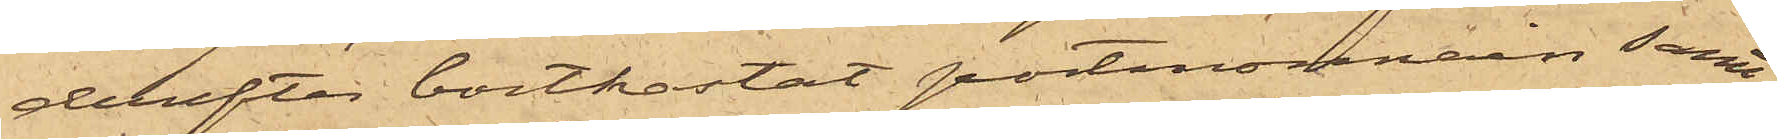derefter bortkastat portmonnain samt
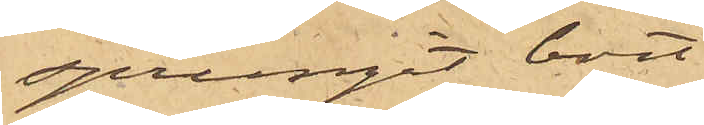sprungit bort.
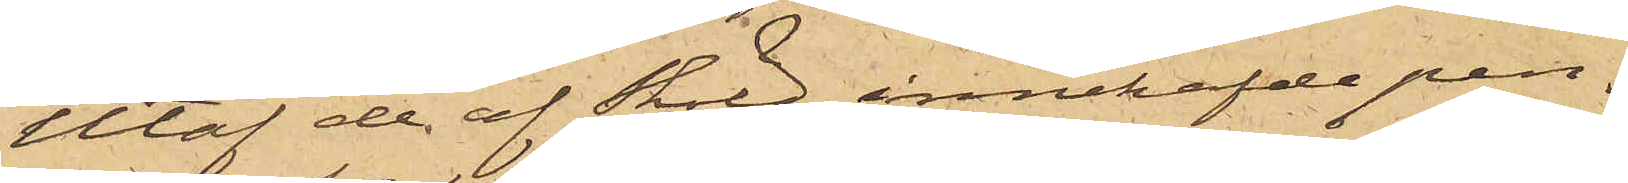Utaf de af Sköld innehafde pen¬
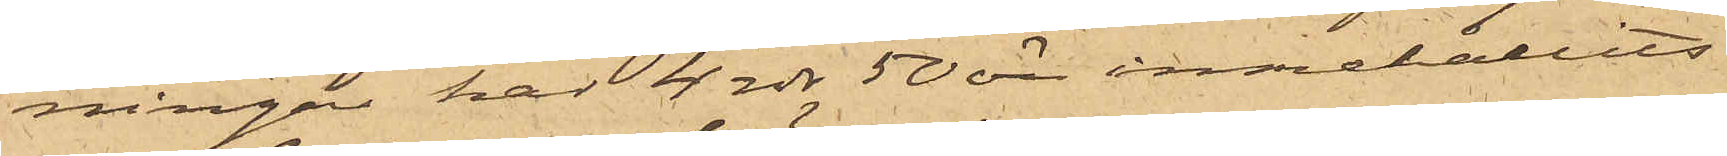ningar har 4 rdr 50 öre innehållits
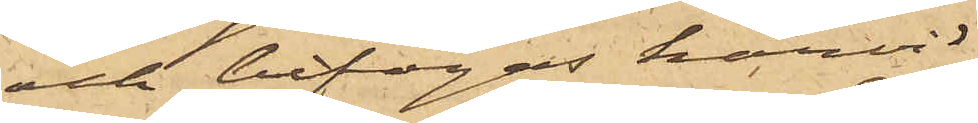och bifogas härvid.
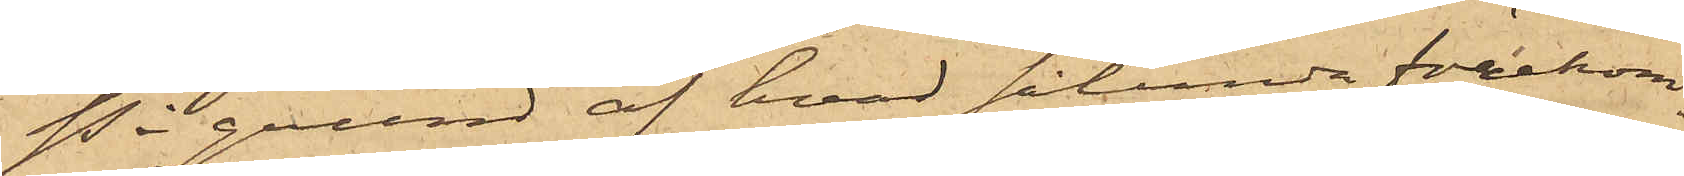På grund af hvad sålunda förekom¬
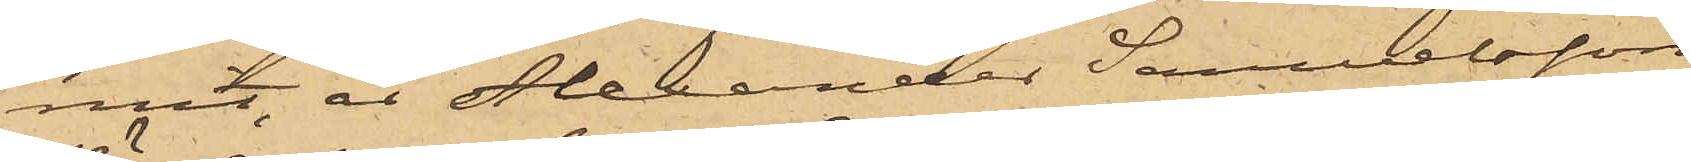mit, är Alexander Samuelsson
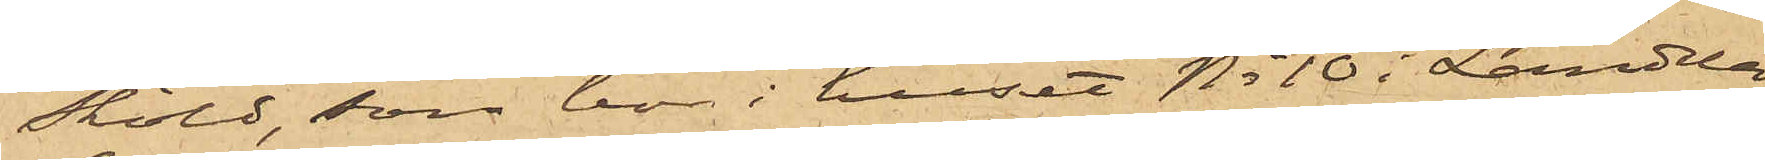Sköld, som bor i huset No 10 i Landala¬
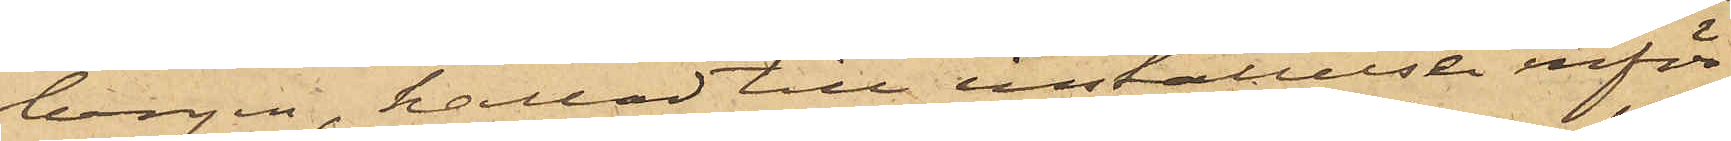bergen, kallad till inställelse inför
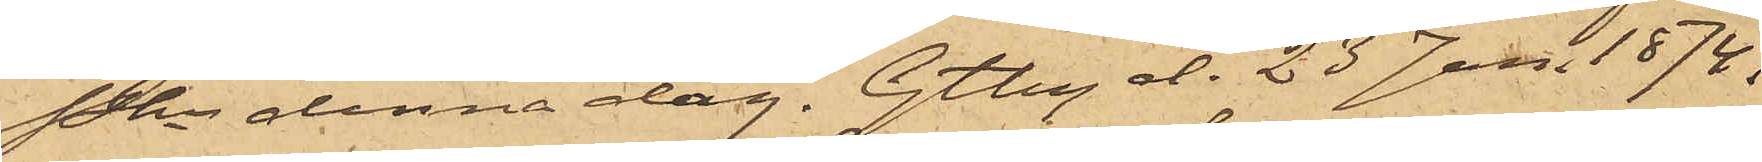Pkn denna dag. Gtbg d. 23 Jan. 1874.
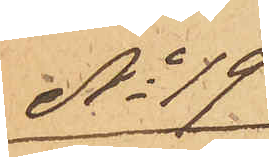No 19
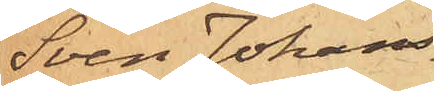Sven Johans¬
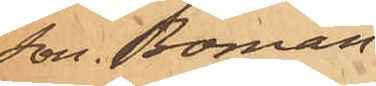son Boman.
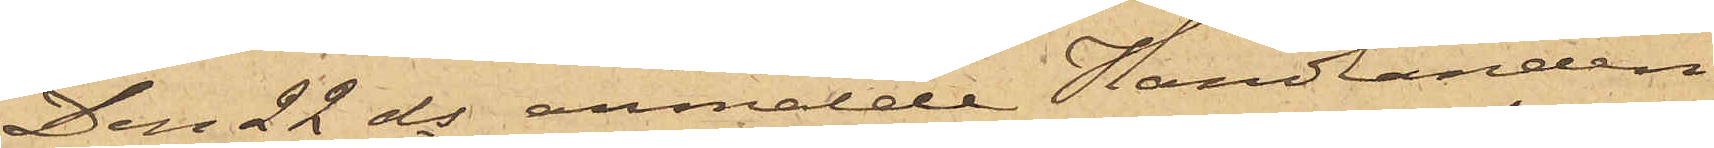Den 22 ds anmälde Handlanden
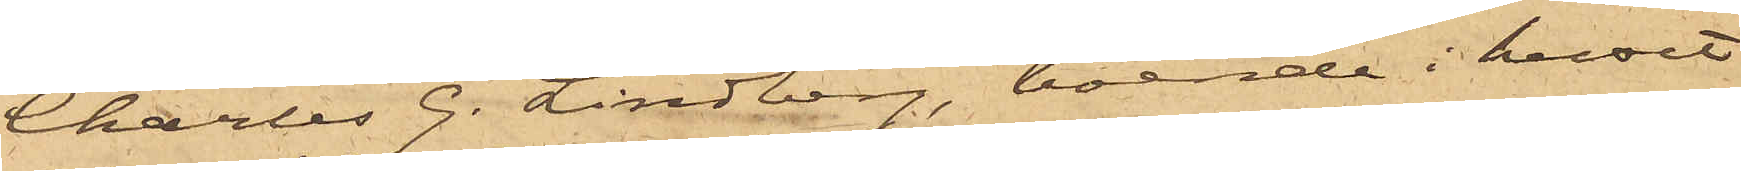Charles G. Lindberg, boende i huset
